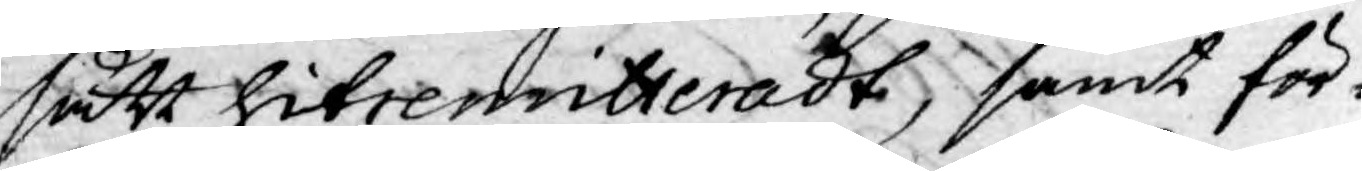sätt hitremitteradt, samt för¬
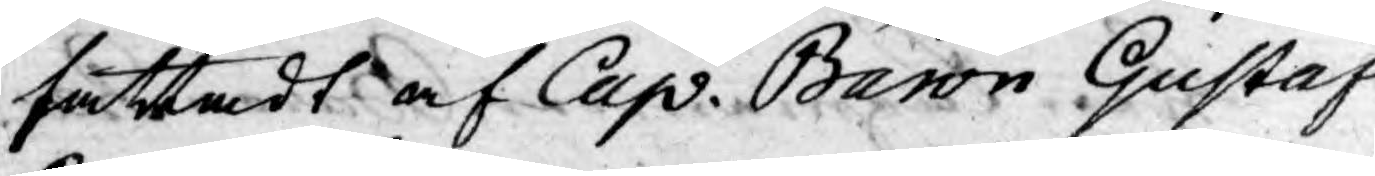fattadt af Cap. Baron Gustaf
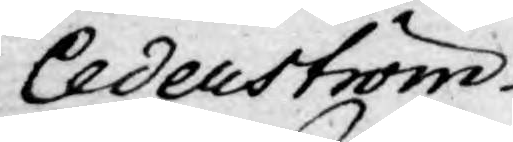Cederström.
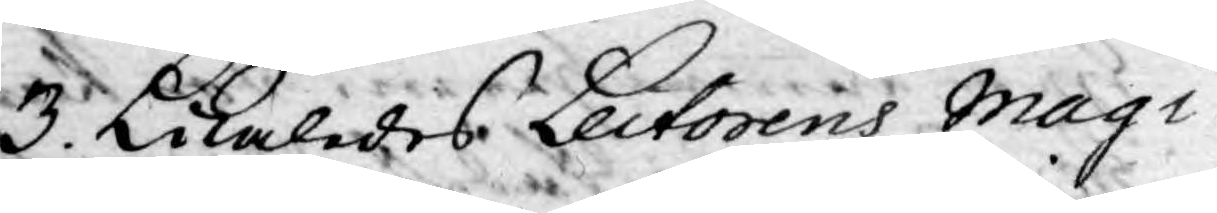3. Likaledes Lectorens Magi¬
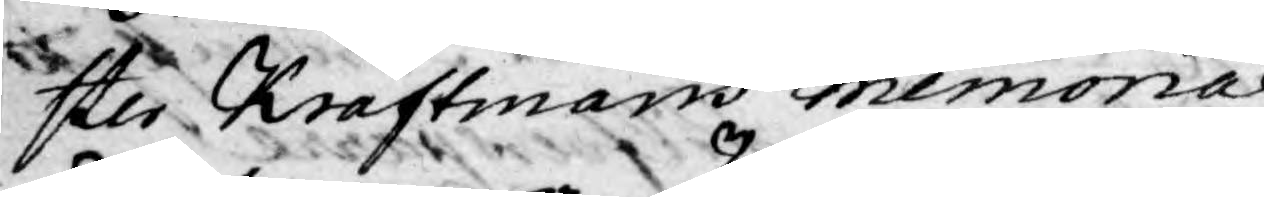ster Kraftmans memorial
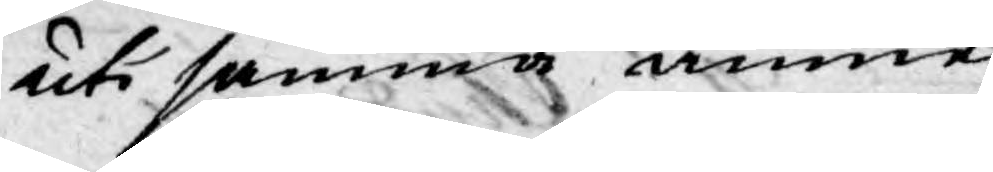uti samma ämne.
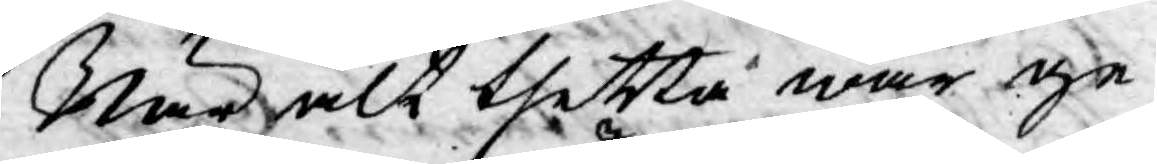När alt thetta war ge¬
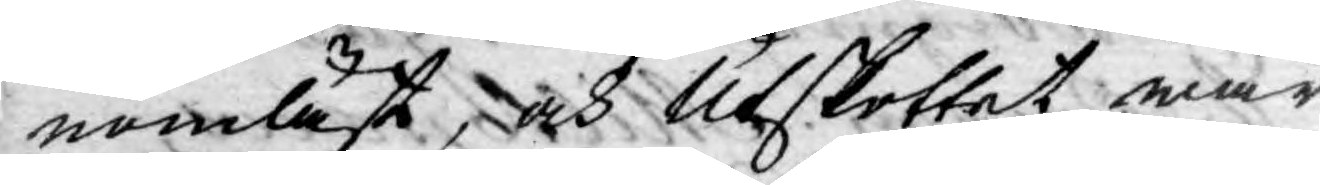nomläst, och Utskottet war
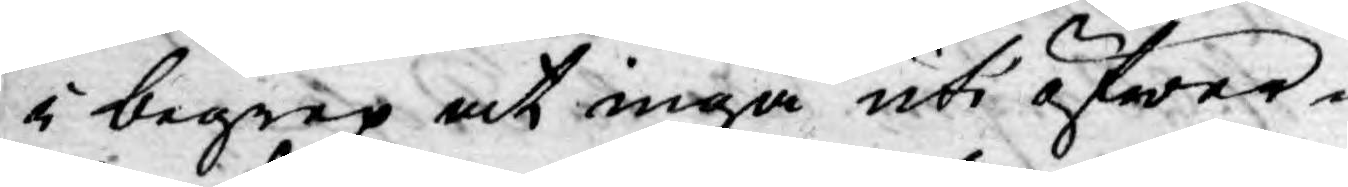i begrep at ingå uti öfwer¬
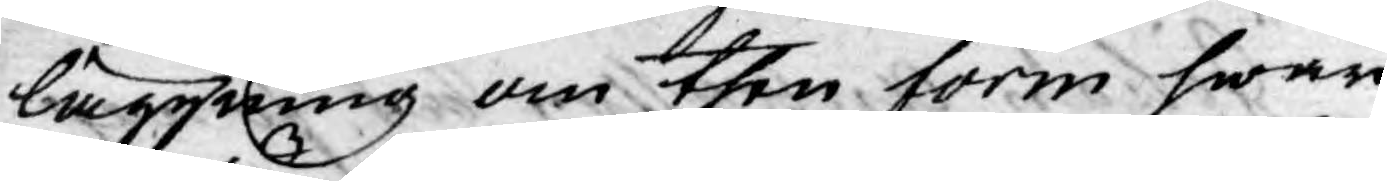läggning om then form hwari
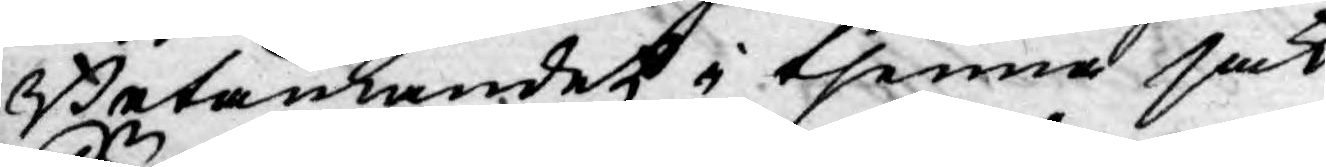Betänkandet i thenna sak
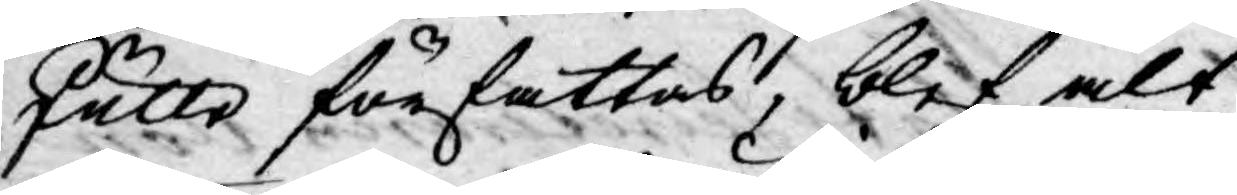skulle författas, blef alt¬
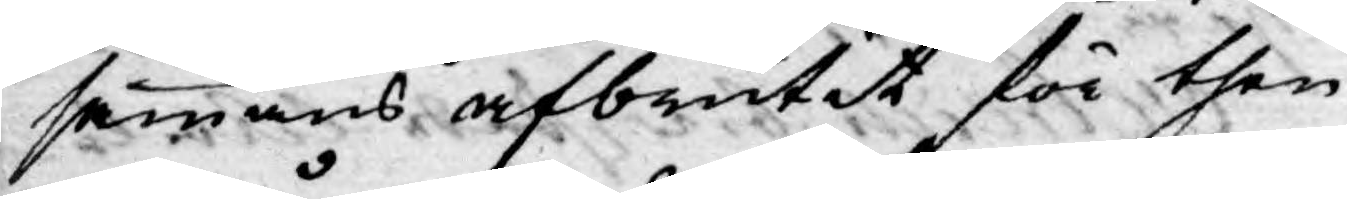sammans afbrutit för then¬
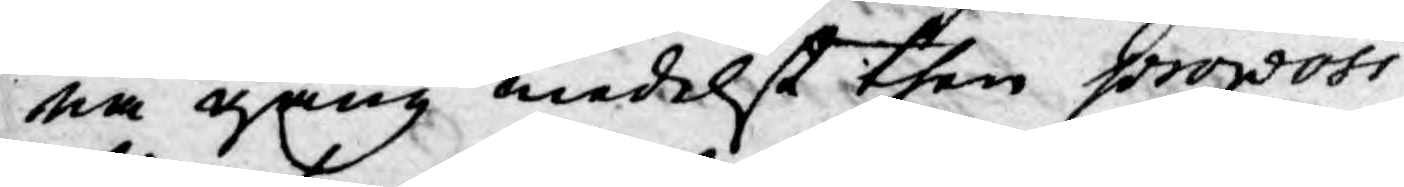na gång medelst then proposi¬
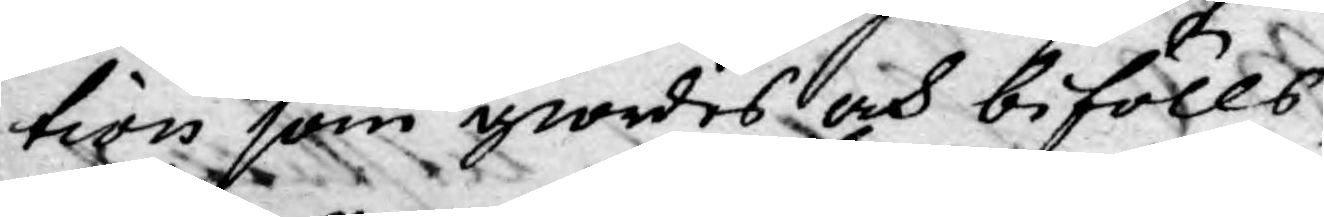tion som giordes och bifölls,
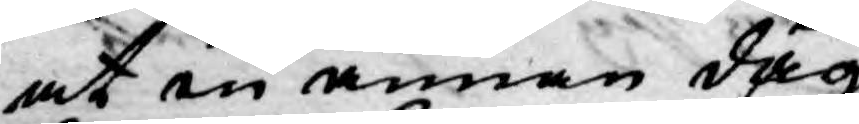at en annan dag
